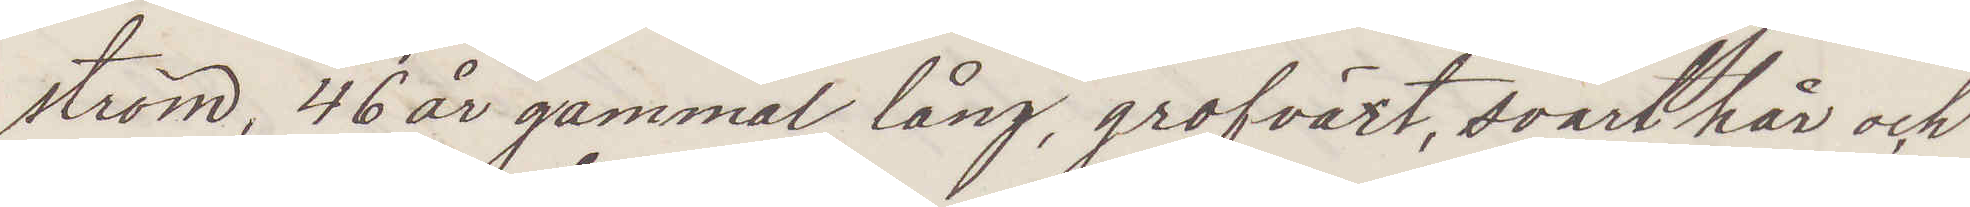ström, 46 år gammal, lång, grofväxt, svart hår och
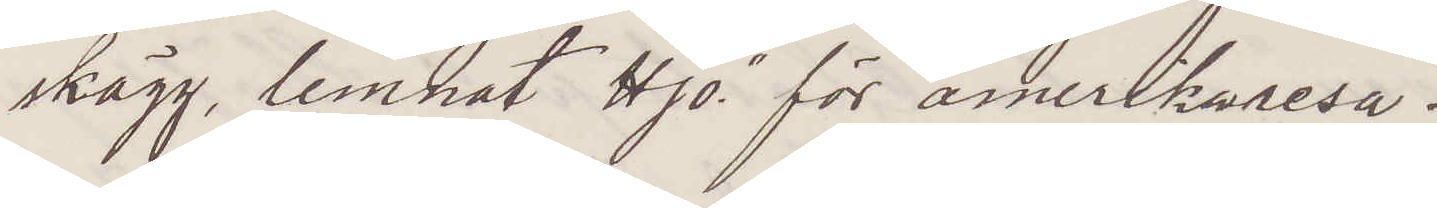skägg, lemnat Hjo för amerikaresa.
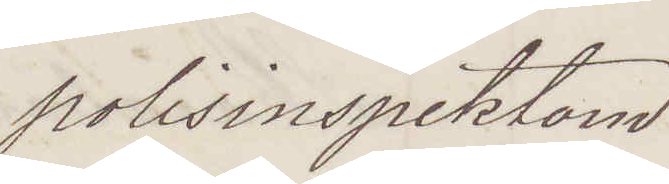Polisinspektorn
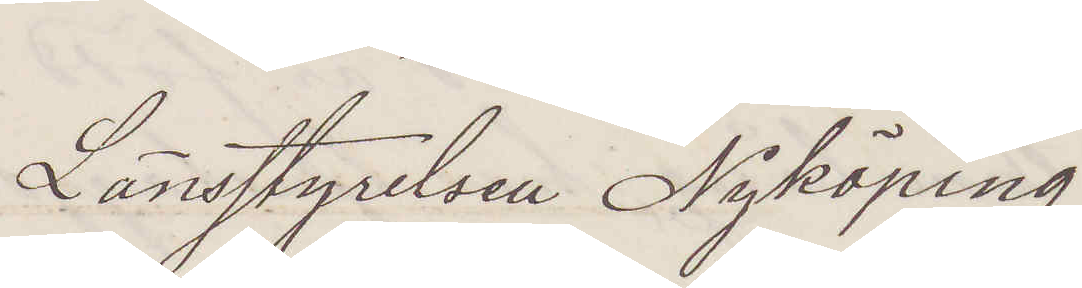Länsstyrelsen Nyköping
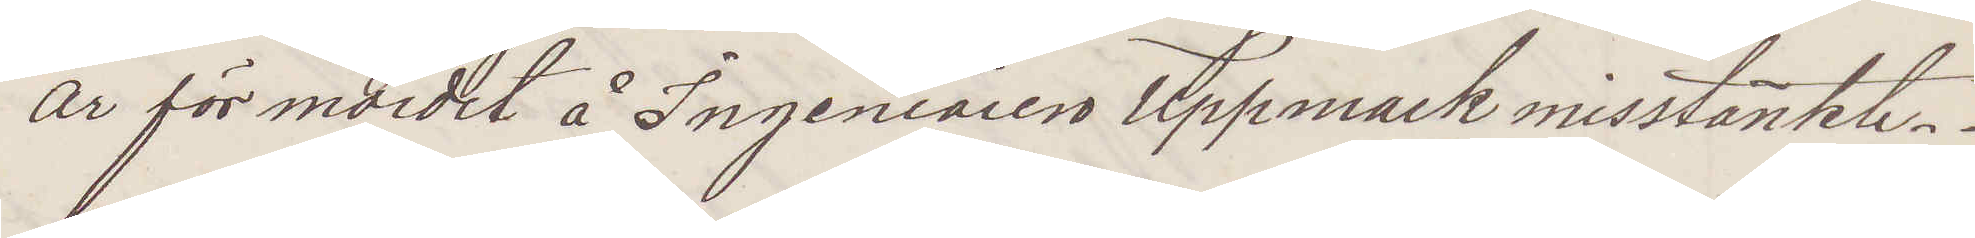är för mordet å Ingeniören Uppmark misstänkt.
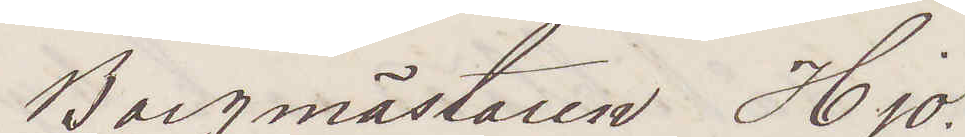Borgmästaren Hjo.
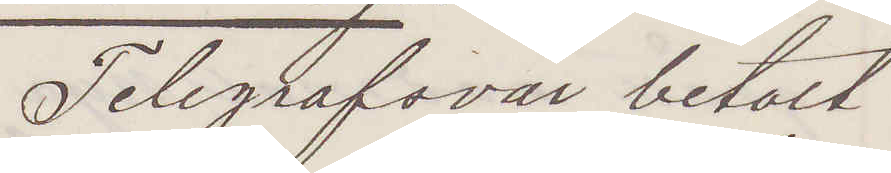Telegrafsvar betalt.
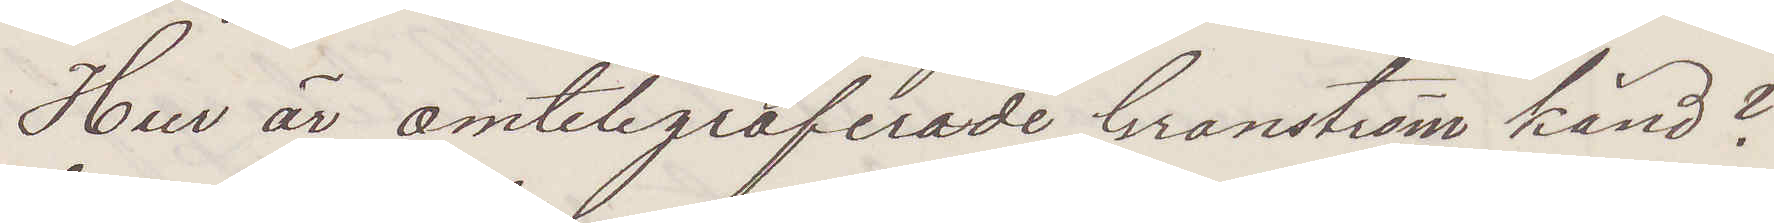Hur är omtelegraferade Granström känd?
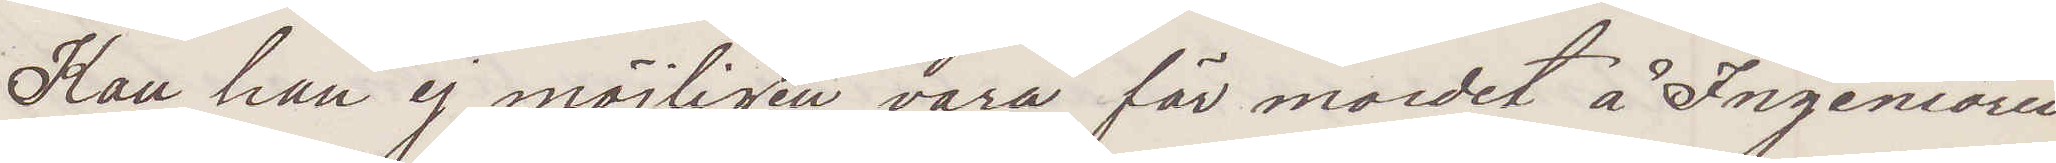Kan han ej möjligen vara för mordet å Ingeniören
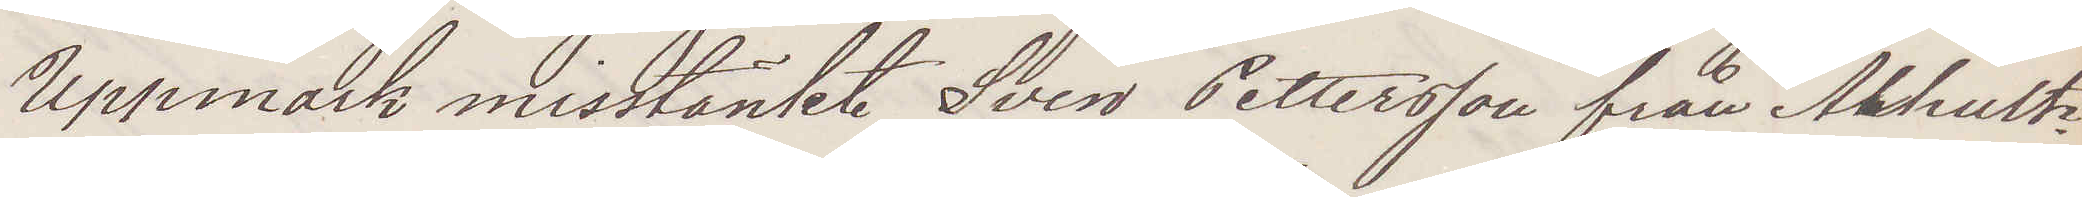Uppmark misstänkte Sven Pettersson från Alhults
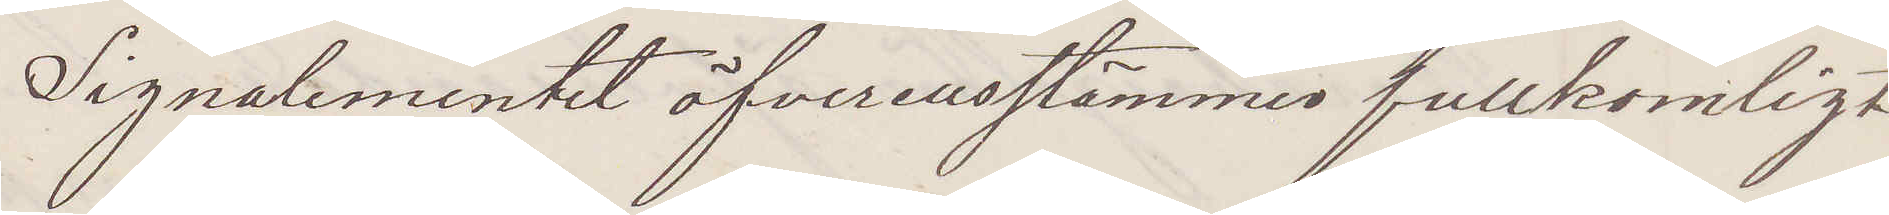Signalementet öfverensstämmer fullkomligt
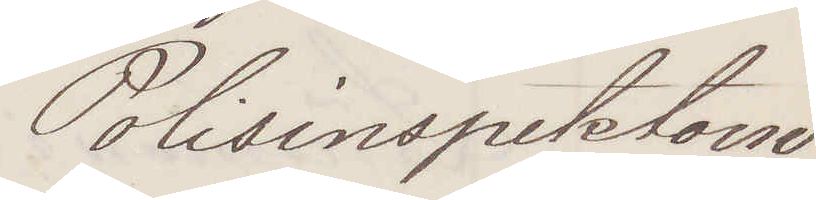Polisinspektorn
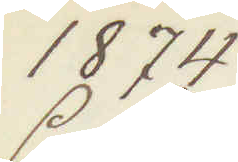1874
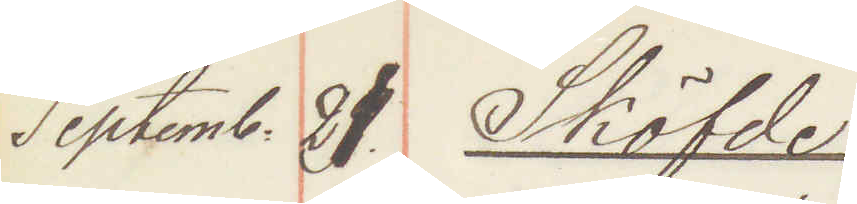Septemb. 21. Sköfde:
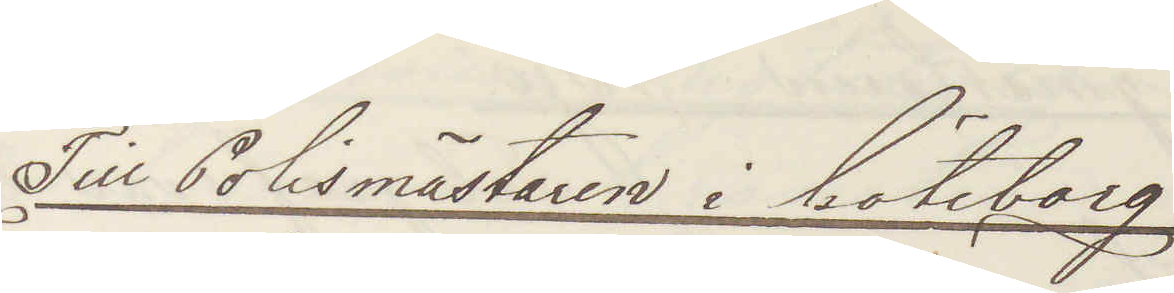Till Polismästaren i Göteborg!
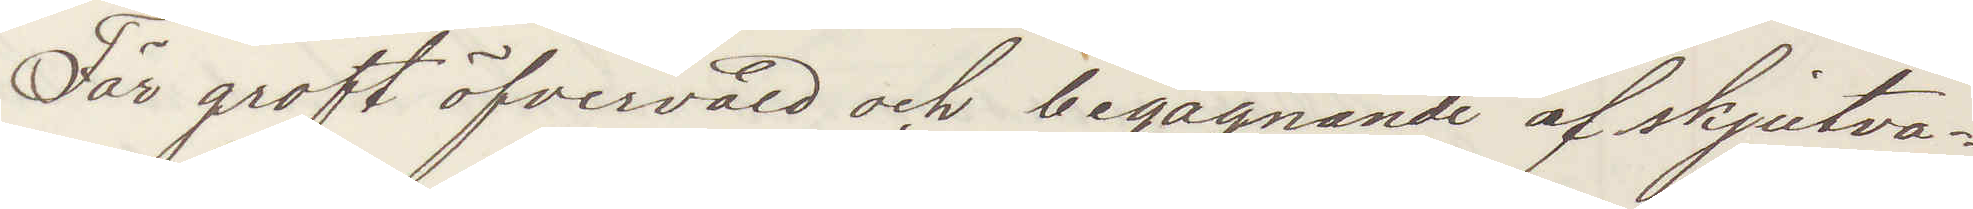För groft öfvervåld och begagnande af skjutva¬
